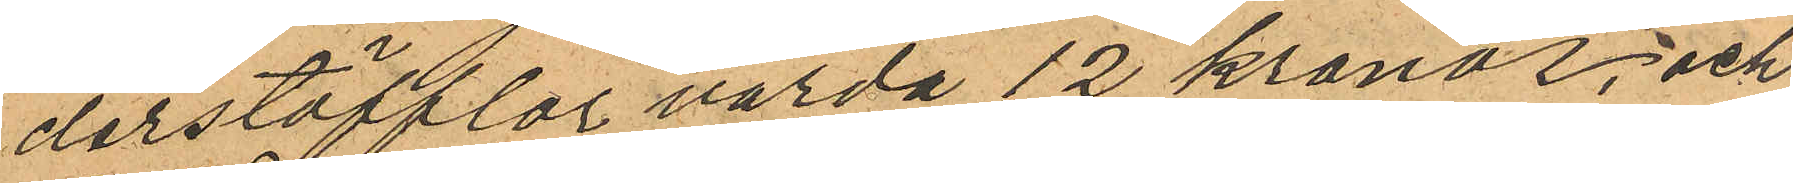derstöfflar värda 12 kronor; och
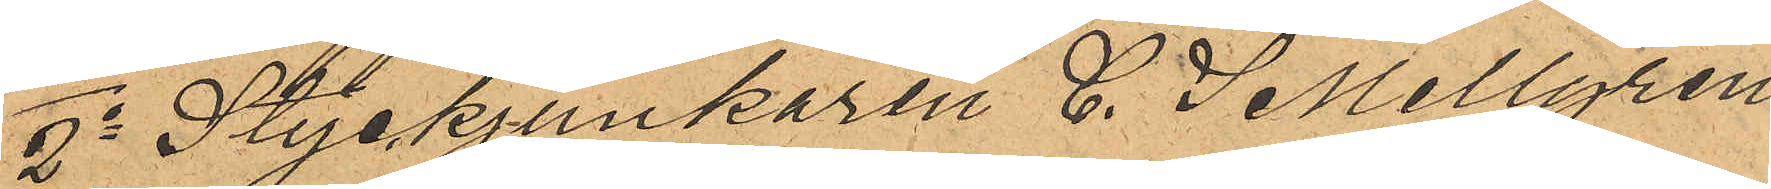2o Styckjunkaren C. S Mellgren
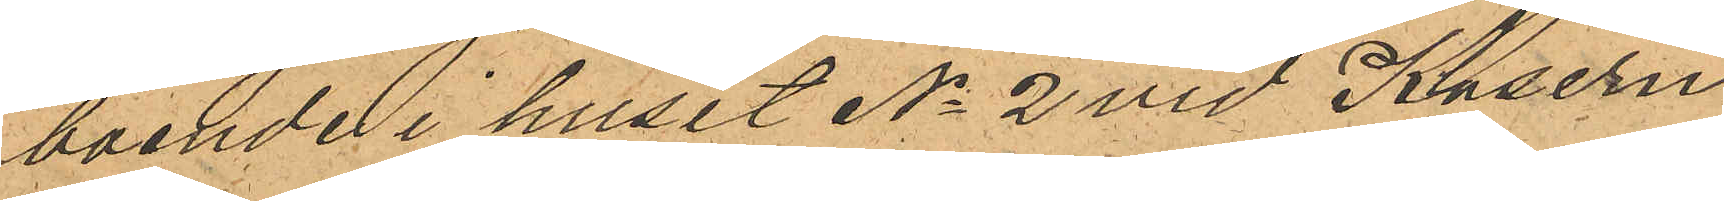boende i huset No 2 vid Kasern¬
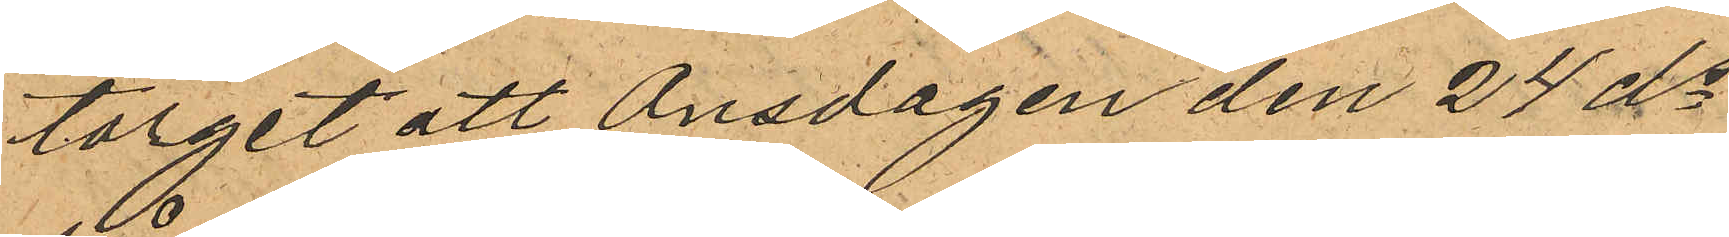torget att Onsdagen den 24 ds
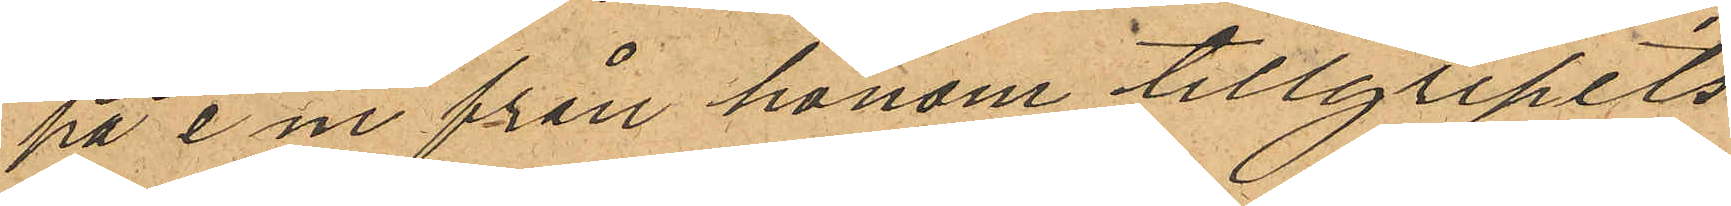på e.m. från honom tillgripits
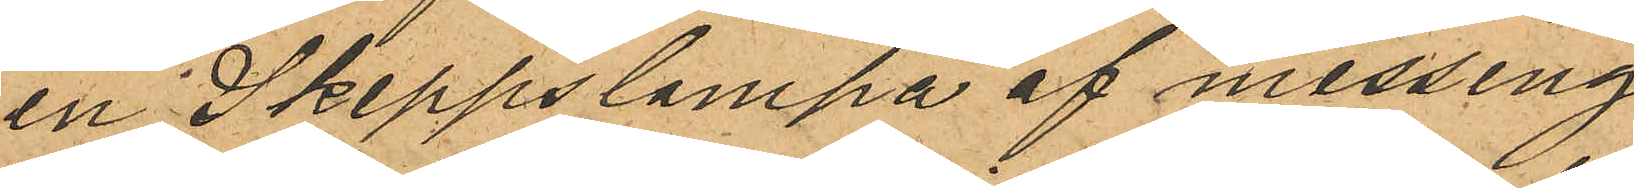en Skeppslampa af messing
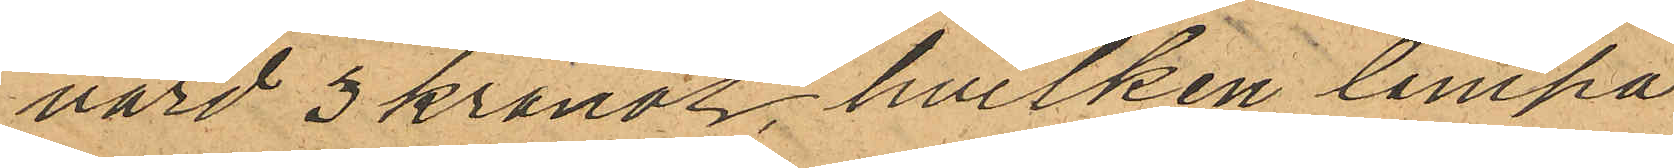värd 3 kronor, hvilken lampa
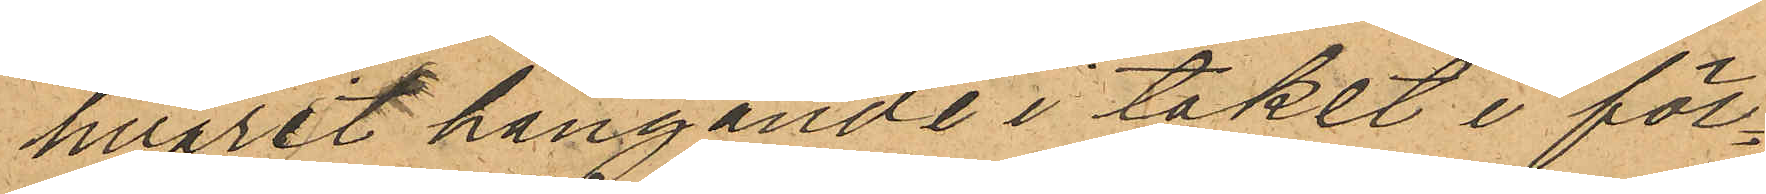hvarit hängande i taket i för¬
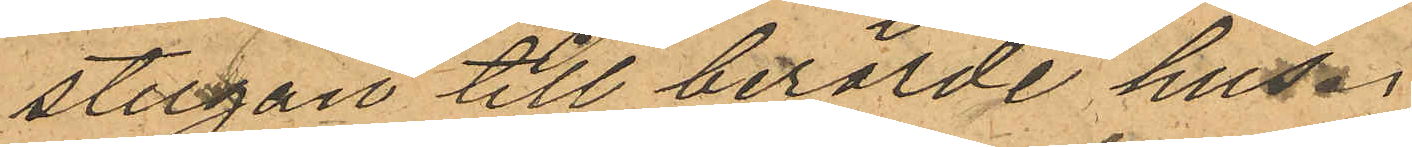stugan till berörde hus.
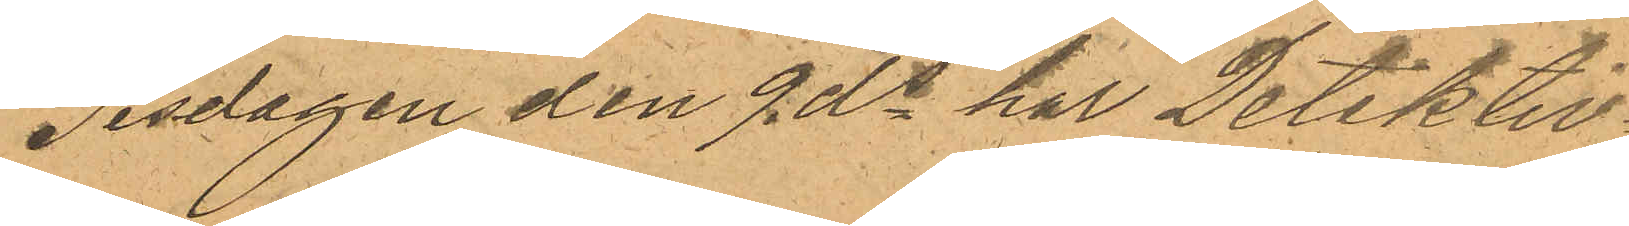Tisdagen den 9 ds har Detektiv¬
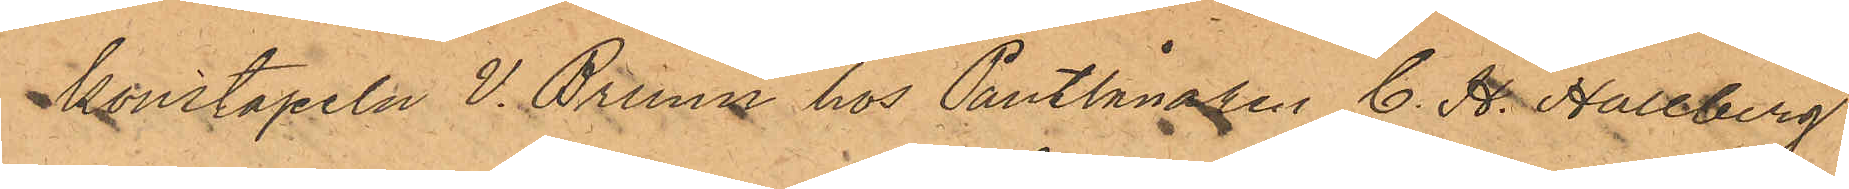konstapeln V. Bruun hos Pantlånaren C. H. Hallberg
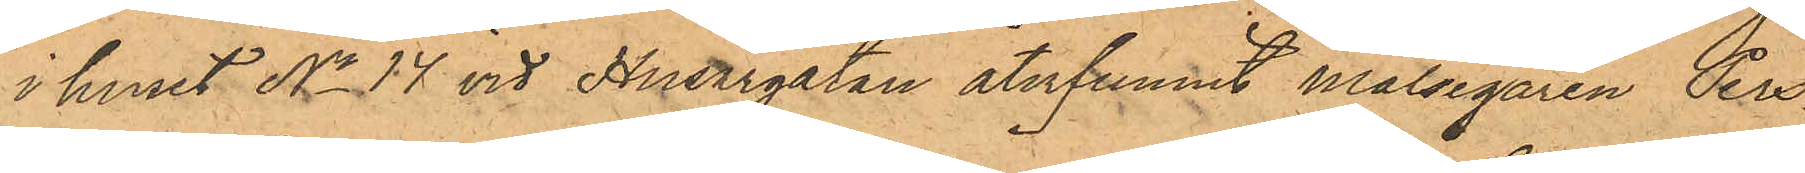i huset No 14 vid Husargatan återfunnit målsegaren Pers¬
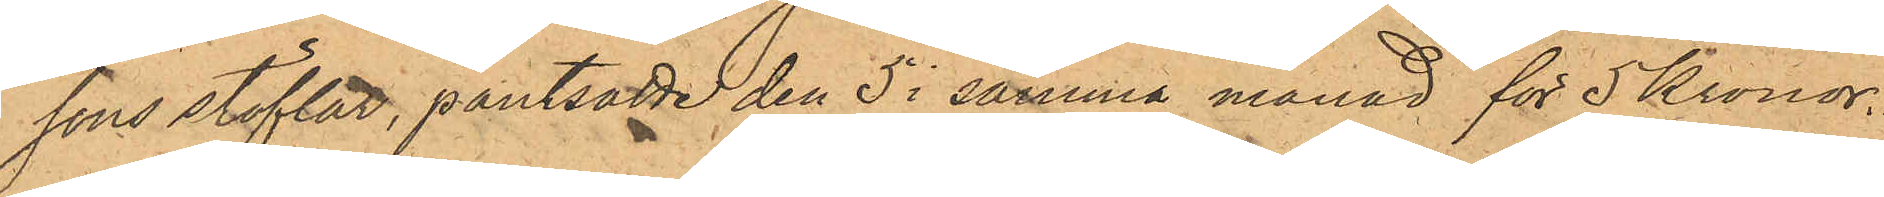sons stöflar, pantsatte den 5 i samma månad för 5 Kronor.
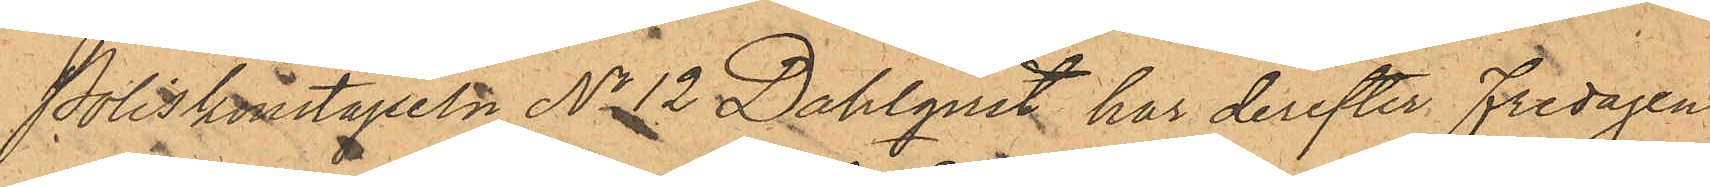Poliskonstapeln No 12 Dahlqvist har derefter Fredagen
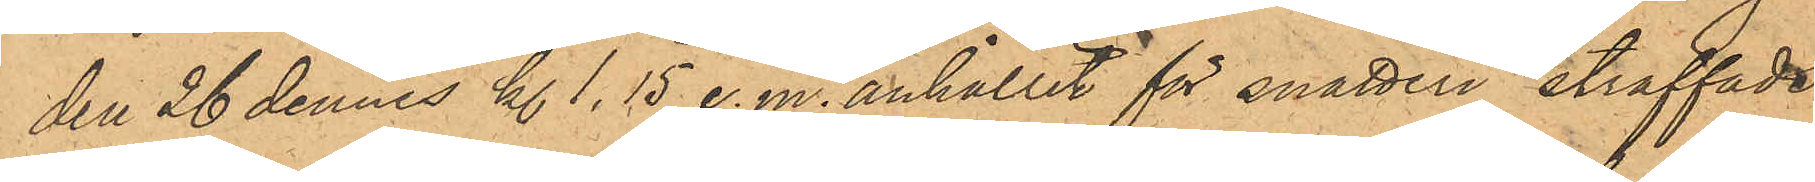den 26 dennes kl 1.15 e.m. anhållit för snatteri straffade
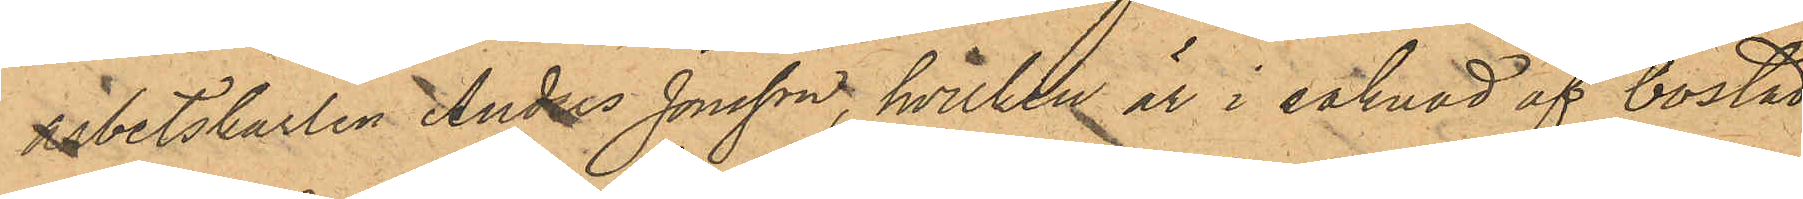arbetskarlen Anders Jonsson, hvilken är i saknad af bostad,
